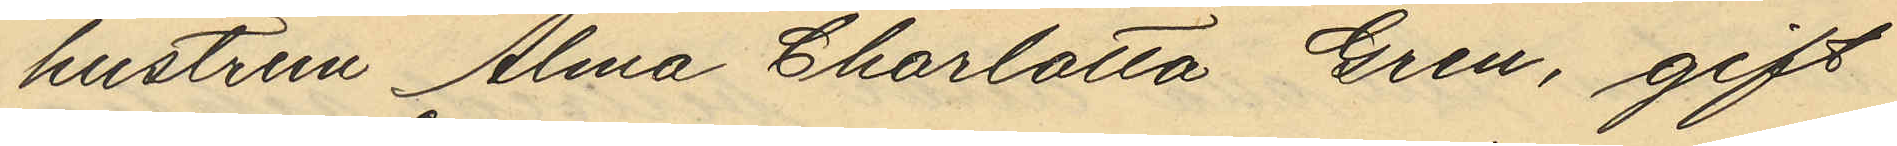hustrun Alma Charlotta Gren, gift
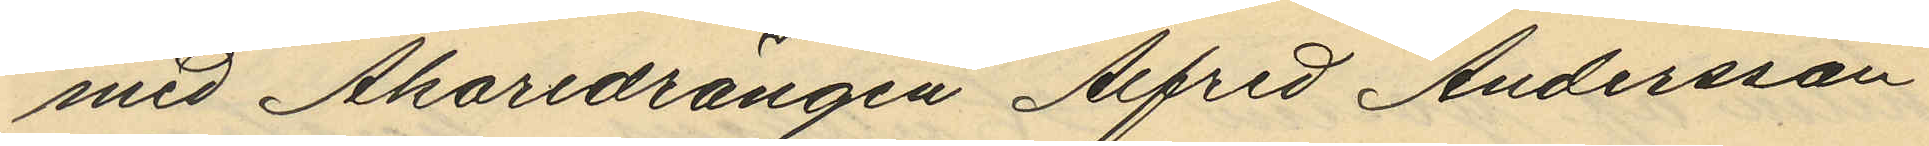med Åkaredrängen Alfred Andersson
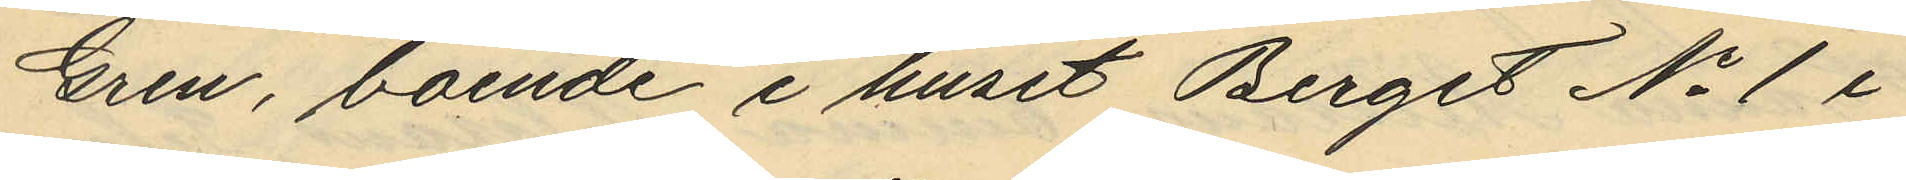Gren, boende i huset Berget No 1 i
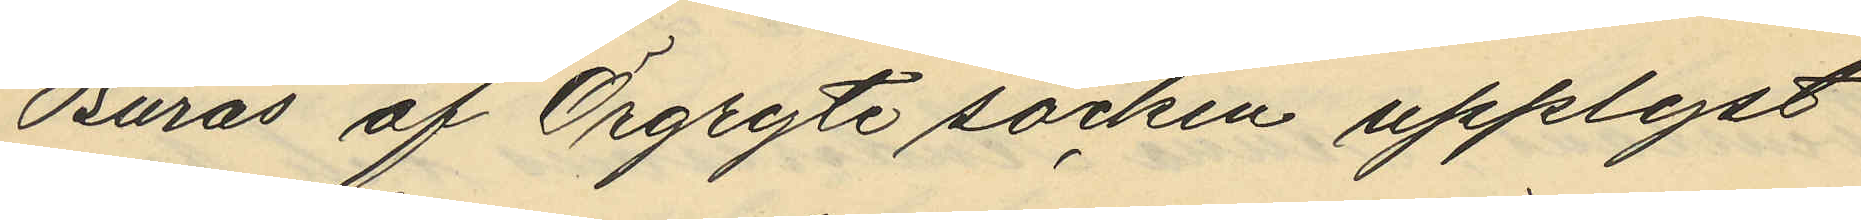Burås af Örgryte socken upplyst
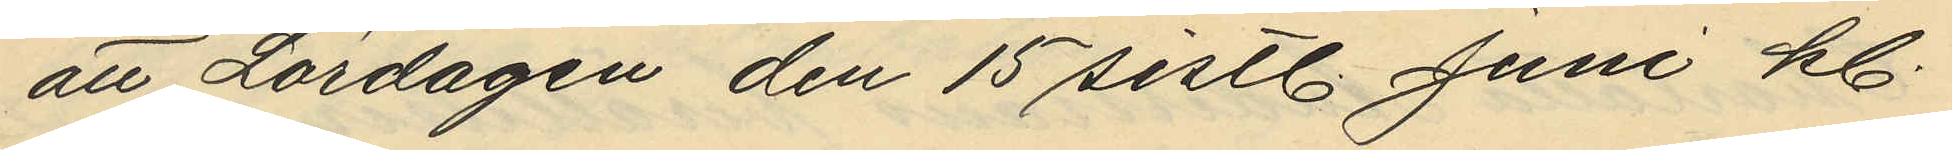att Lördagen den 15 sistl. Juni kl.
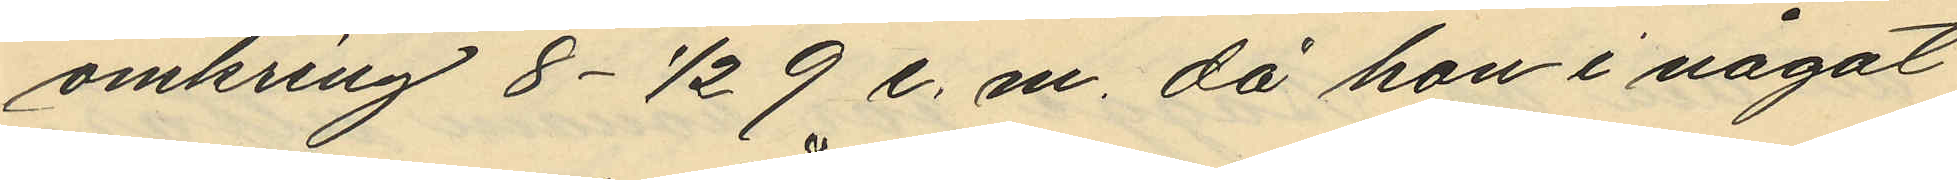omkring 8 - 1/2 9 e. m. då hon i något
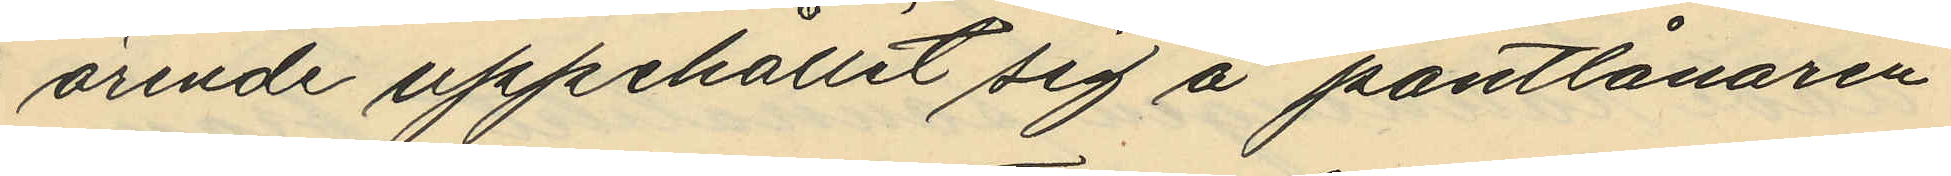ärende uppehållit sig å pantlånaren
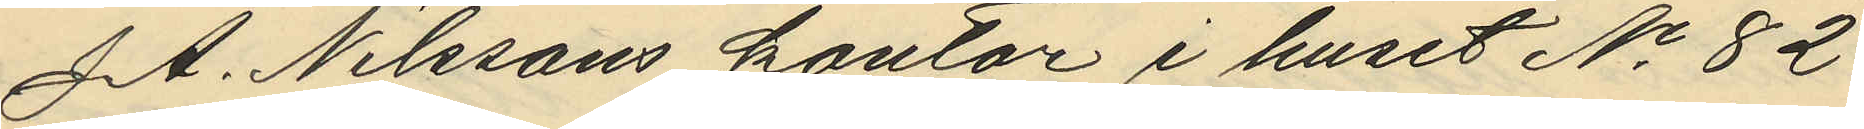J. A. Nilssons kontor i huset No 82
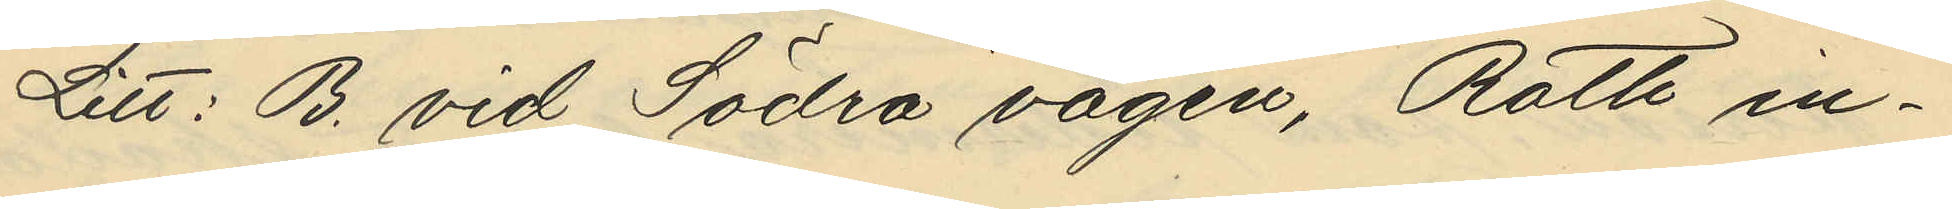Litt: B. vid Södra vägen, Roth in¬
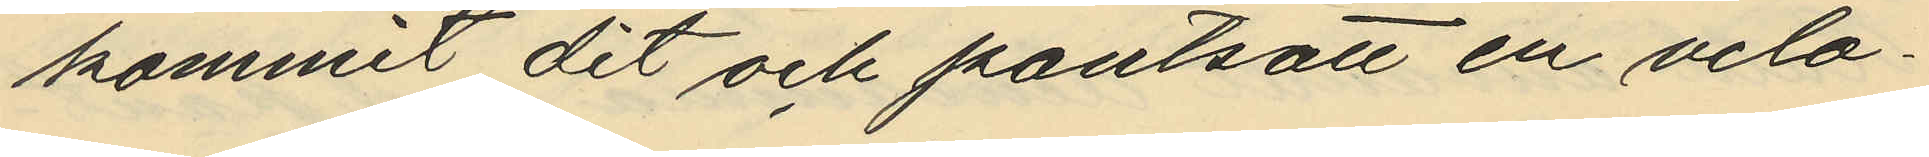kommit dit och pantsatt en velo¬
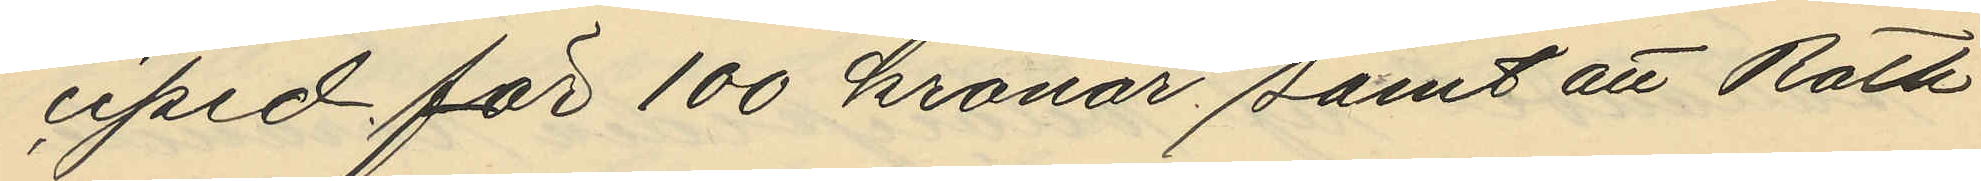ciped för 100 kronor, samt att Roth
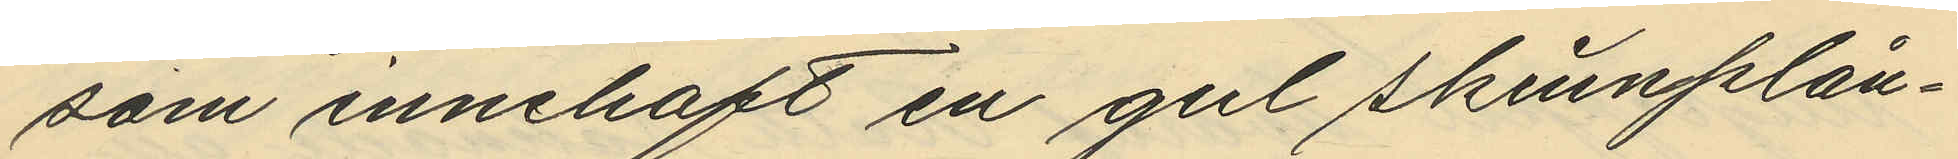som innehaft en gul skinnplån¬
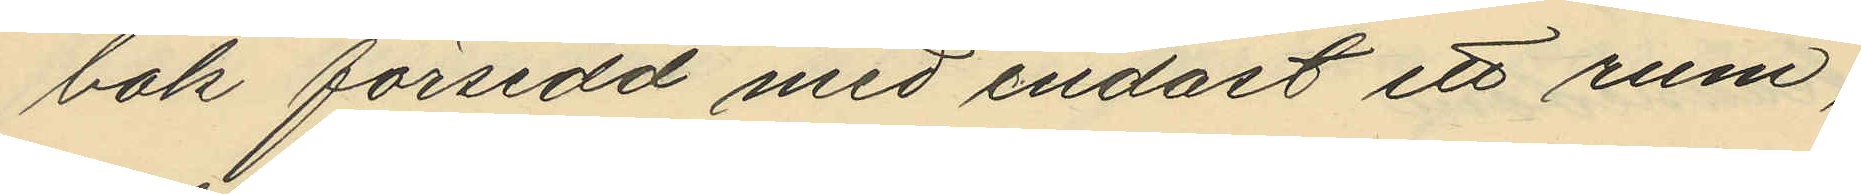bok försedd med endast ett rum,
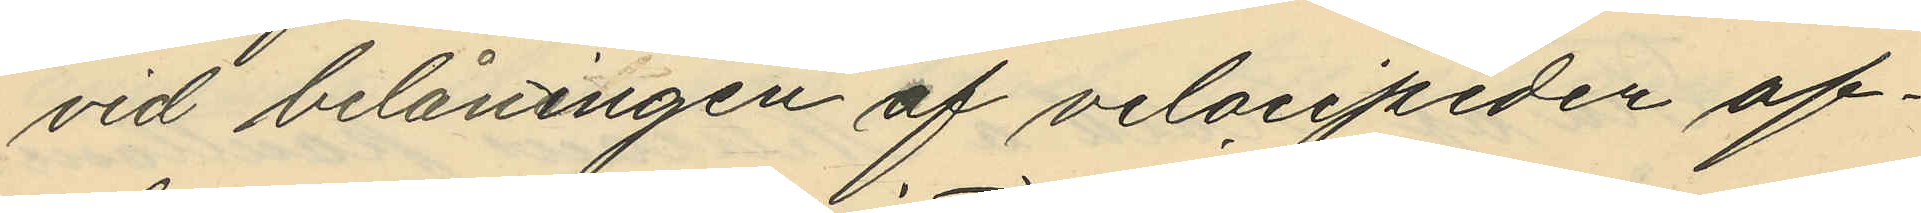vid belåningen af velocipeden af¬
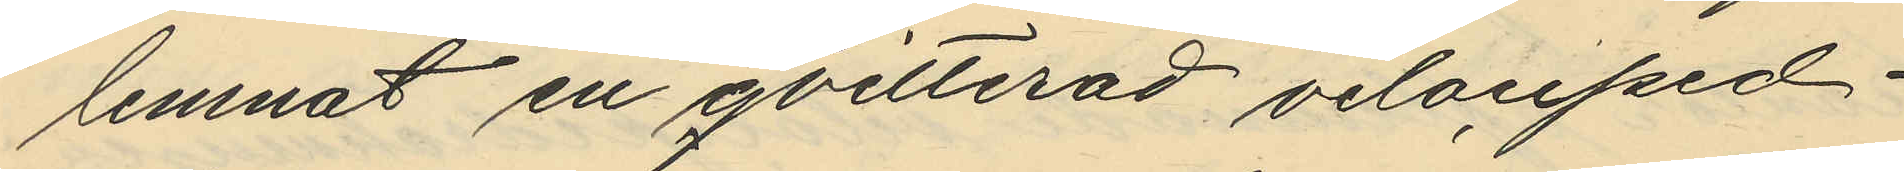lemnat en qvitterad velociped¬
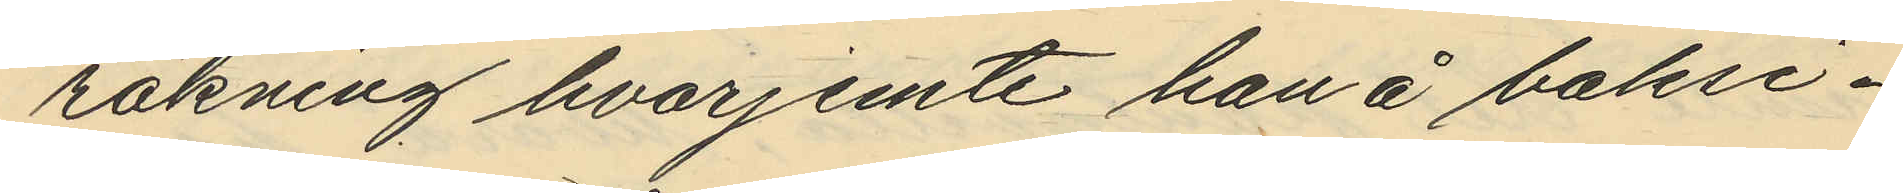räkning hvarjemte han å baksi¬
